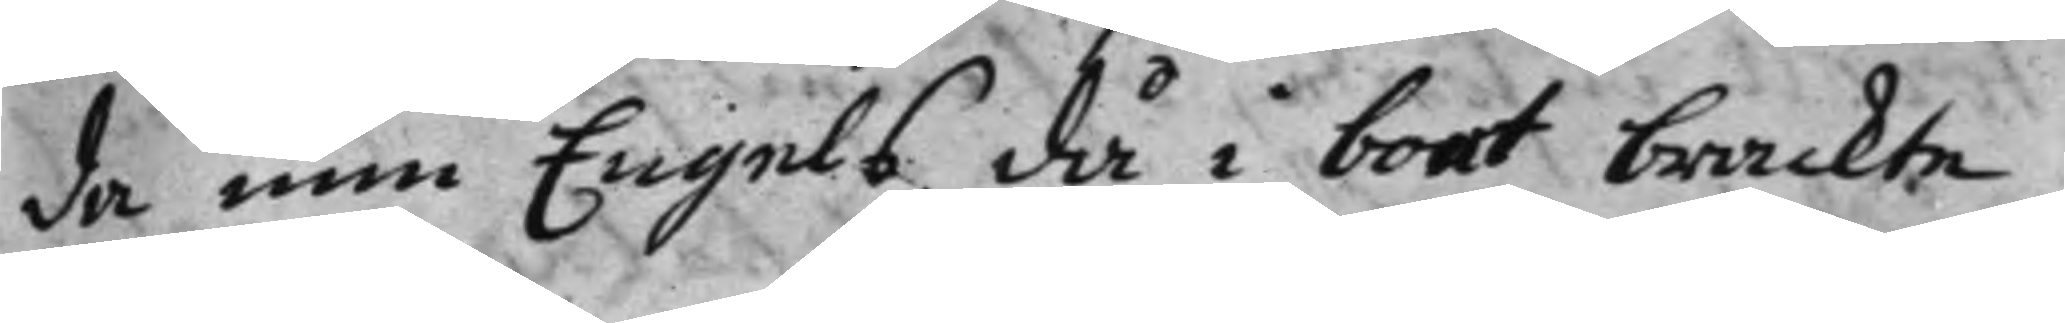da min Engels då i boet brackte
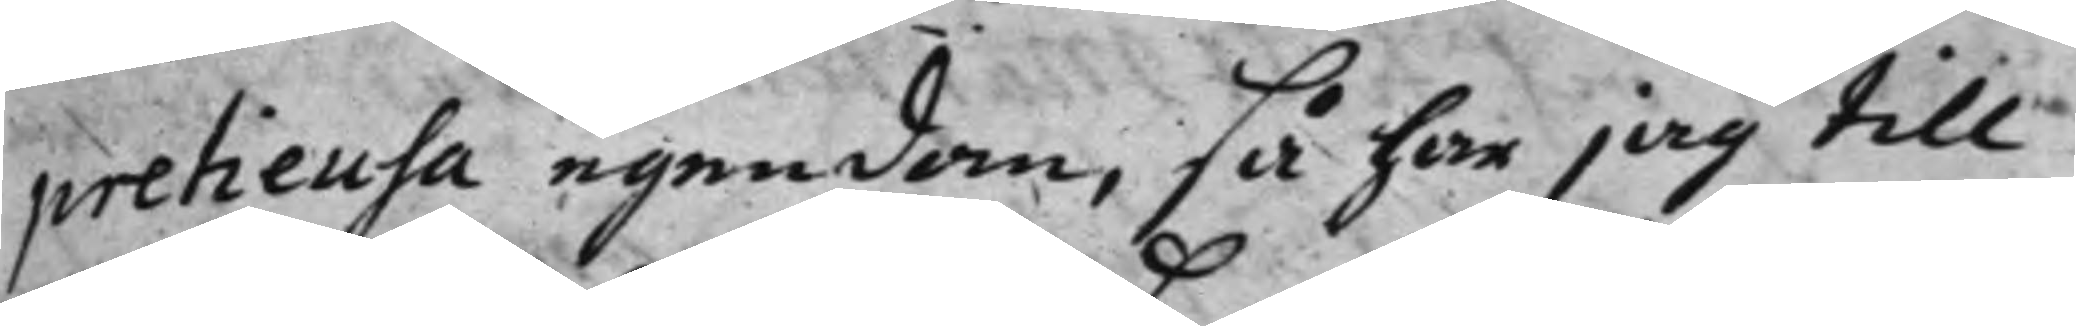pretiensa egendom, så har jag till
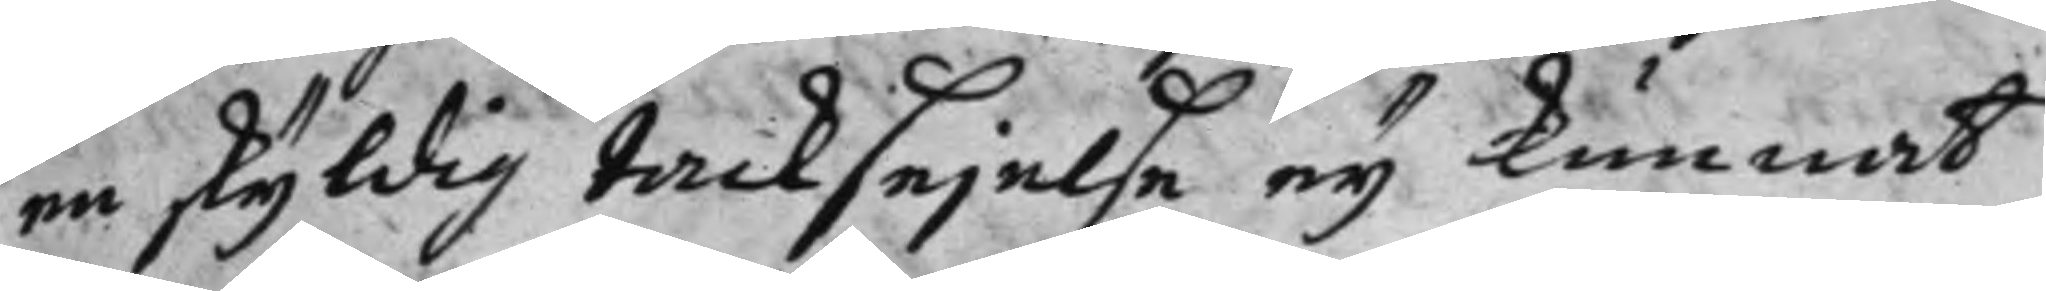en skyldig tacksejelse eij kunnat
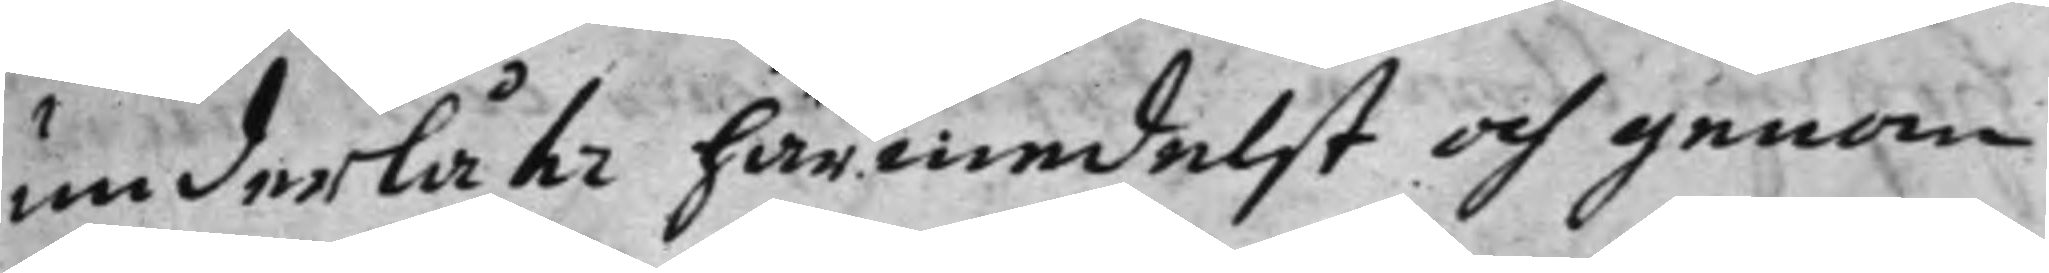underlåta härmedelst och genom
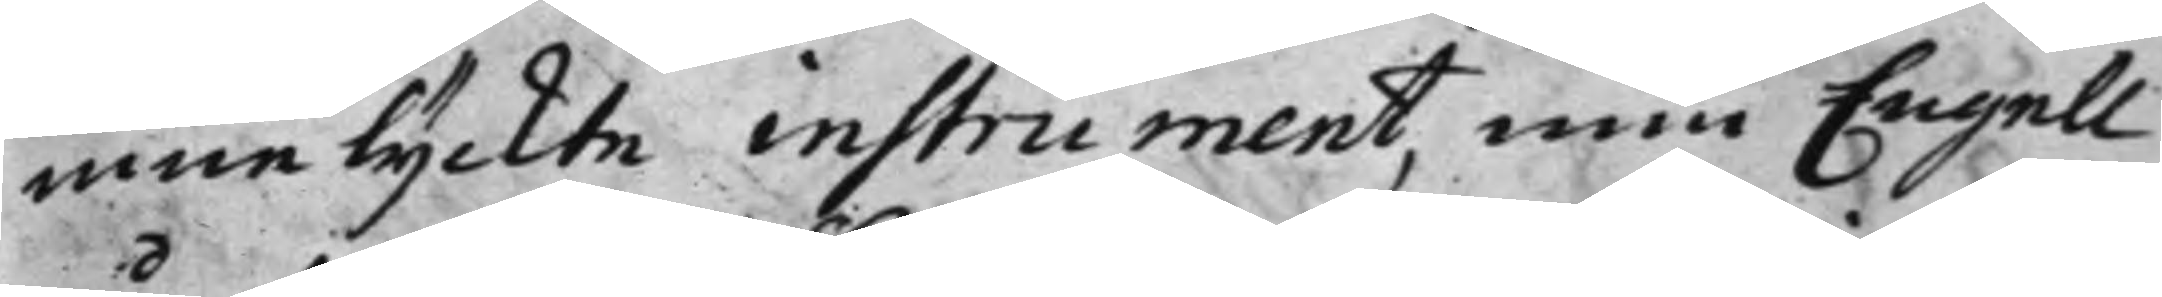inne lyckte instrument min Engell
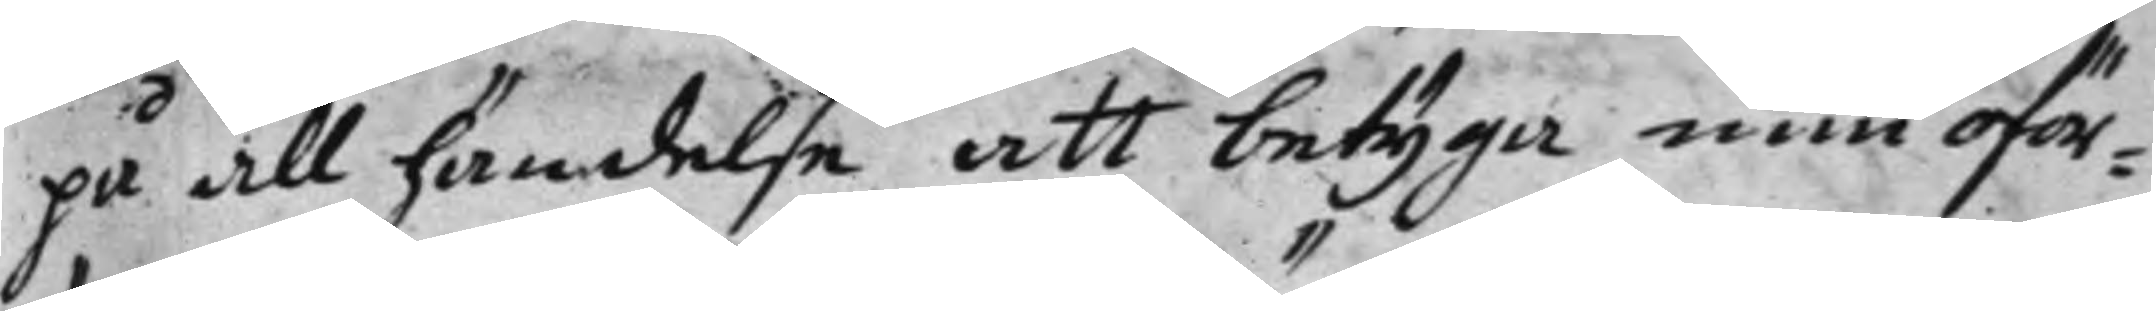på all händelse att betyga min oför¬
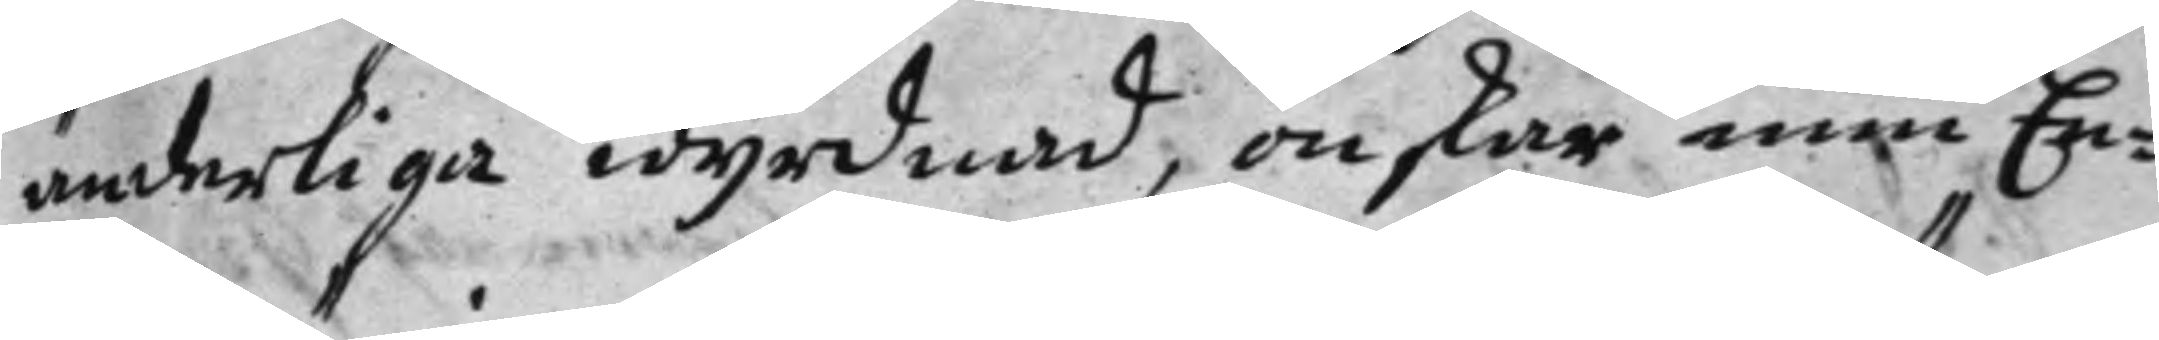änderliga wyrdnad, önskar min En¬
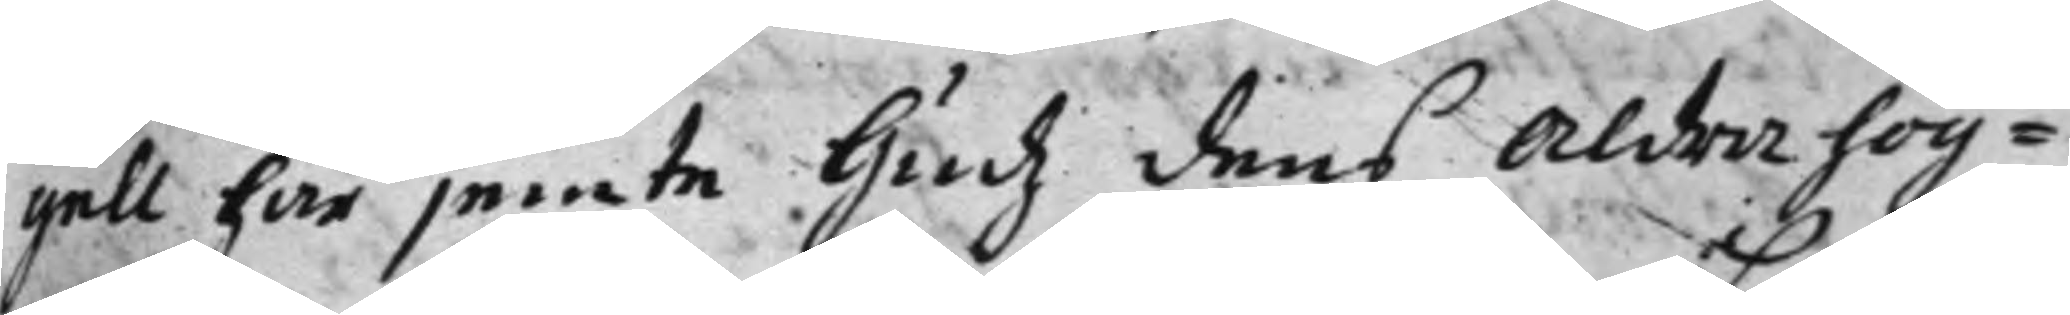gell här jemte Gudz dens Aldra hög¬
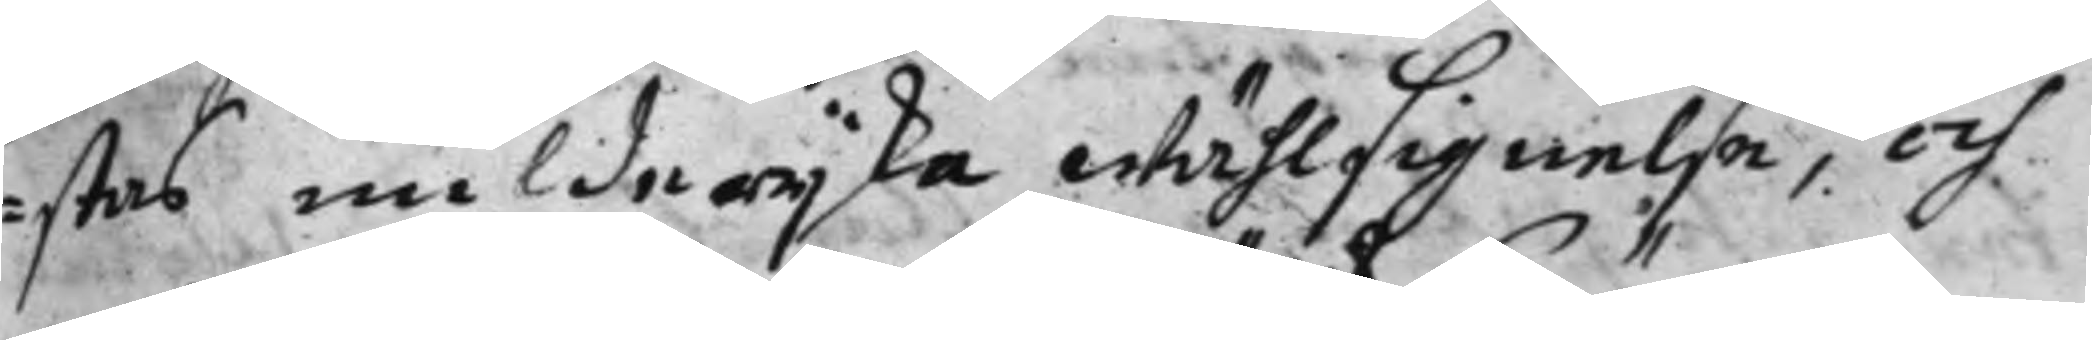stas milderijka wählsignelse, och
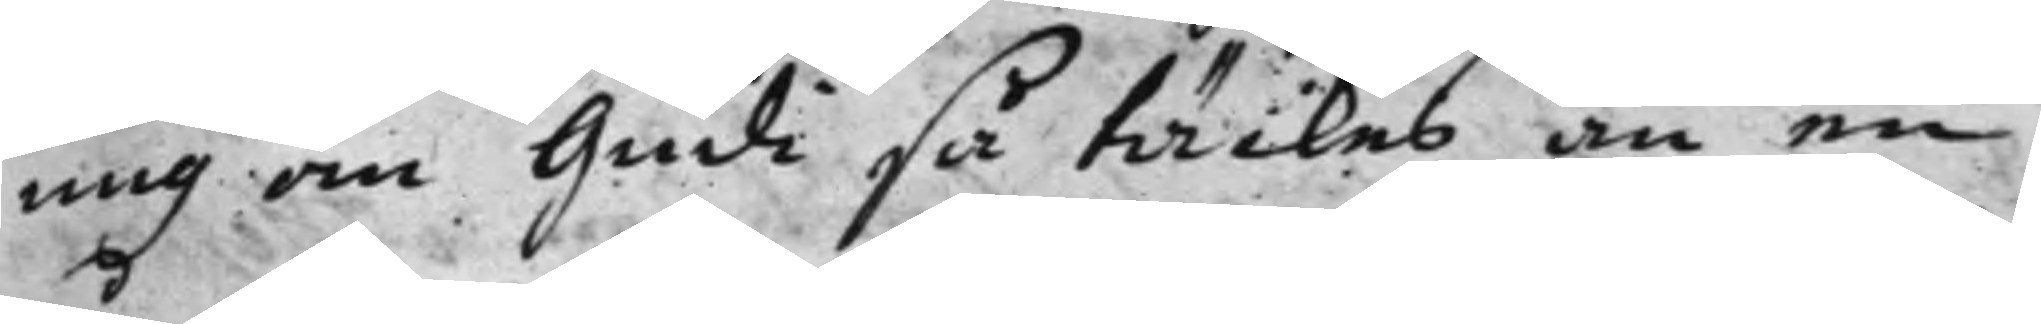mig om Gudi så täckes än en
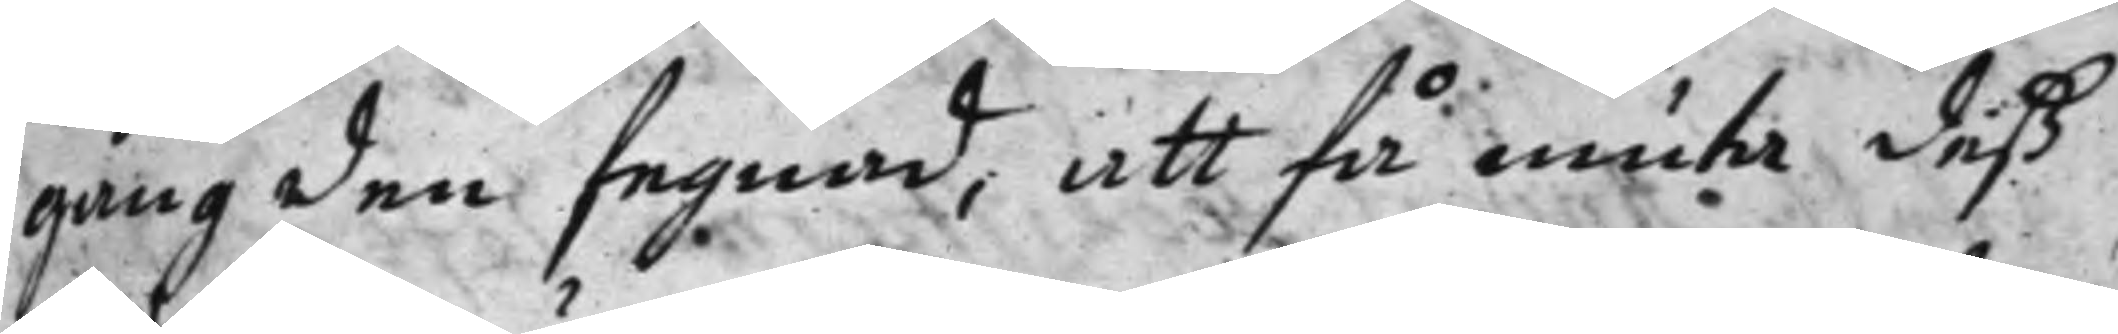gång den fegnad, att få niuta deß
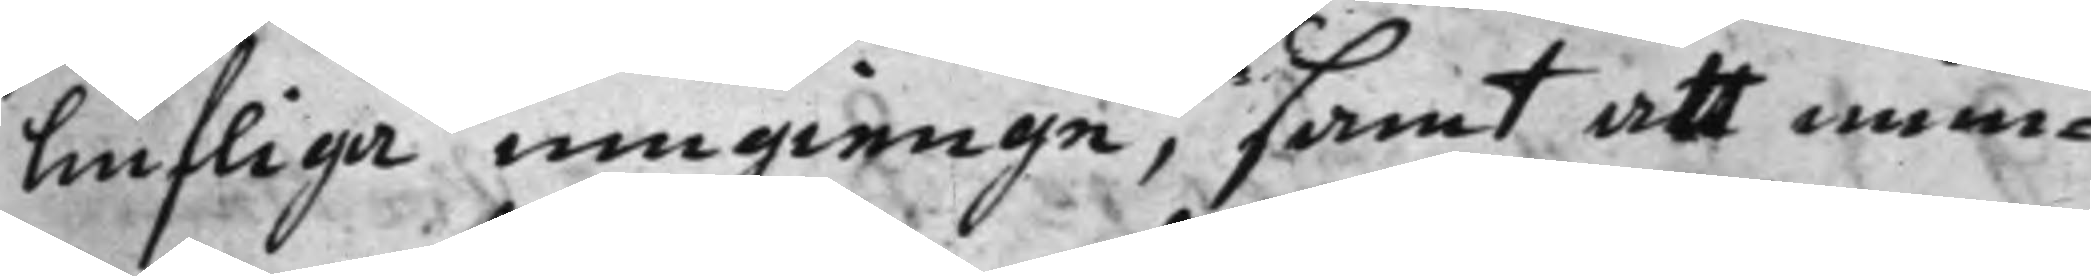liufliga umgienge, samt att mun¬
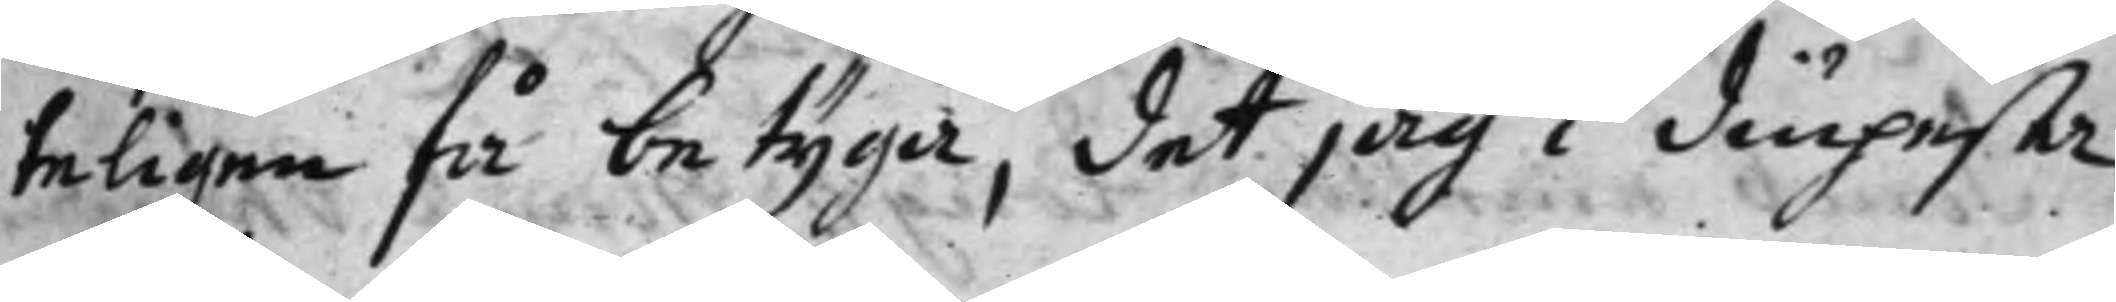teligen få betyga, det jag i diupesta
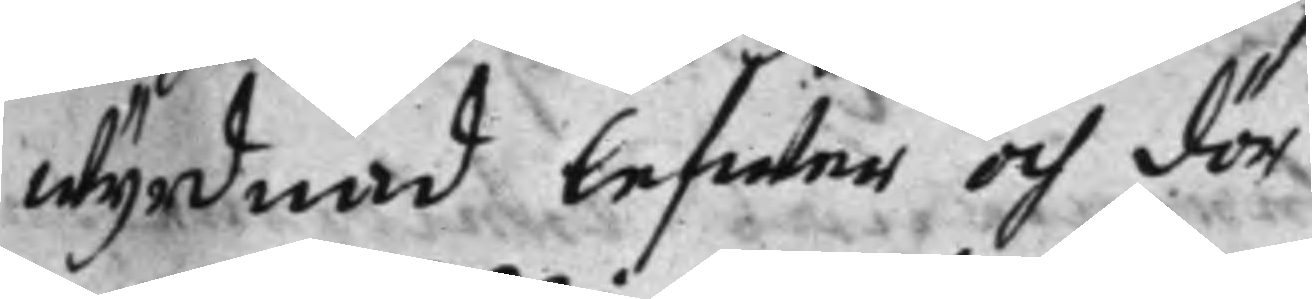wyrdnad lefwer och dör
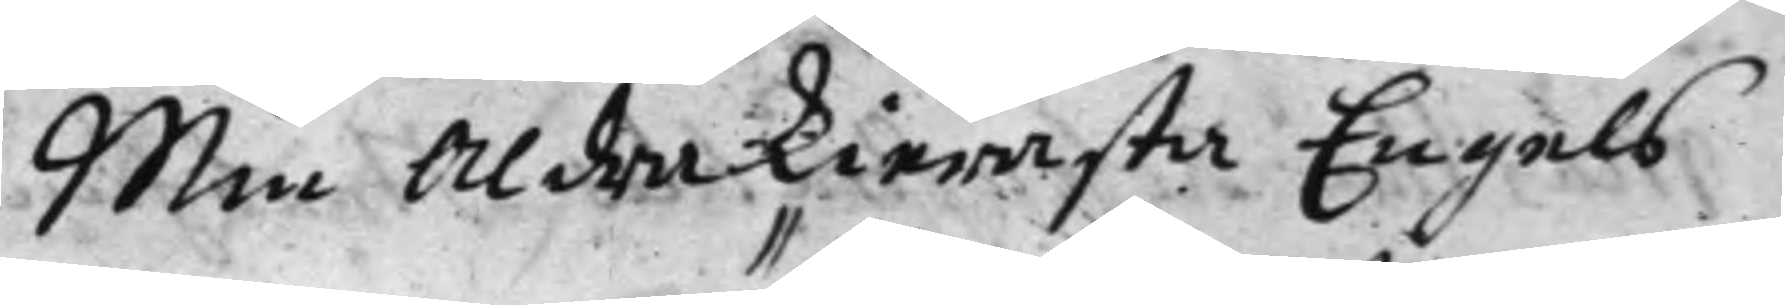Min Aldra kierasta Engels
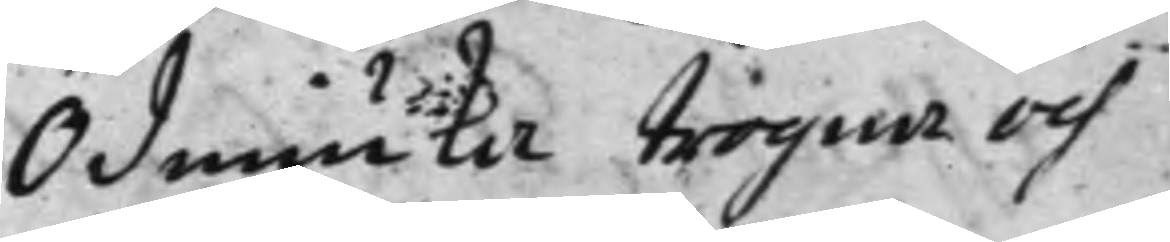Ödmiuka trogna och
